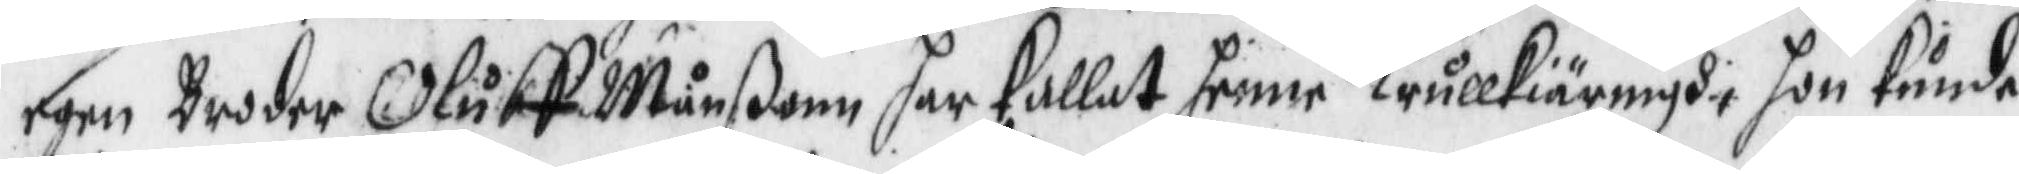egen Broder Oluff Månßonn har kallat henne Trullkiäringh, hon kunde
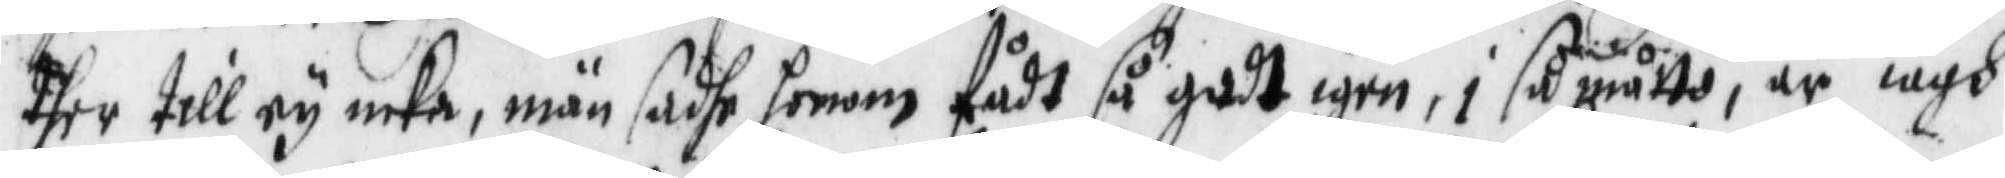dher till ey icke, män sadhe honom fådt så godt igen, i så måtto, är iagh
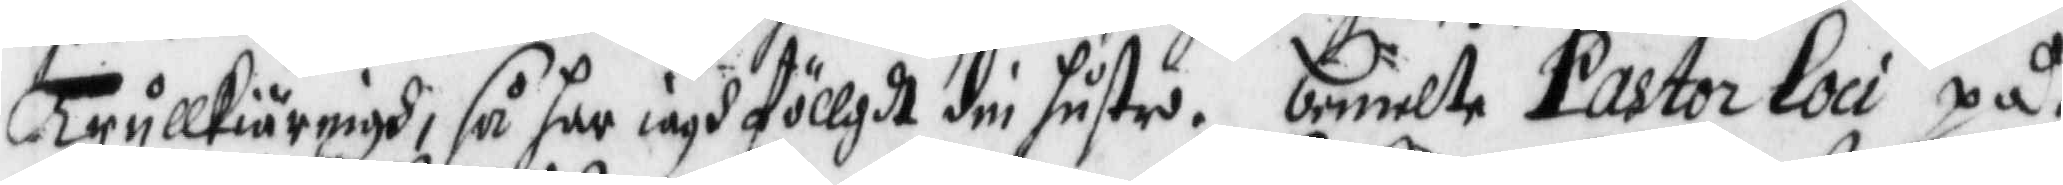Trullkiäringh, så har iagh föllgdt din hustro. bemelte Pastor Loci på¬
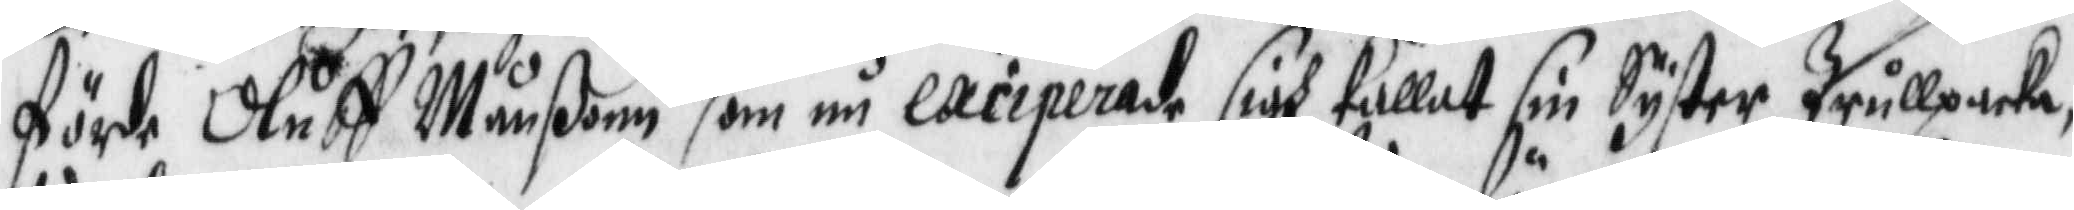förde Oluff Månßonn som nu exciperade sigh kallat sin Syster Trullpacka,
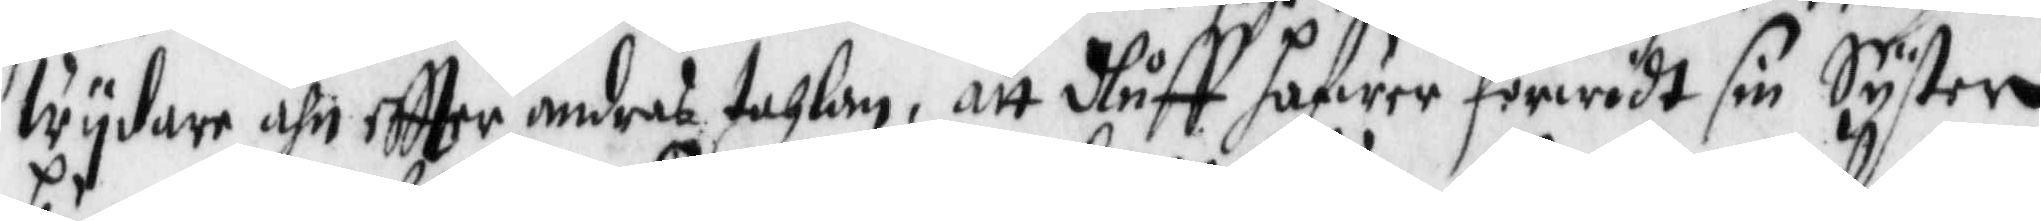wydare ähn eftter andras tahlan, att Oluff hafwer förwedt sin Syster
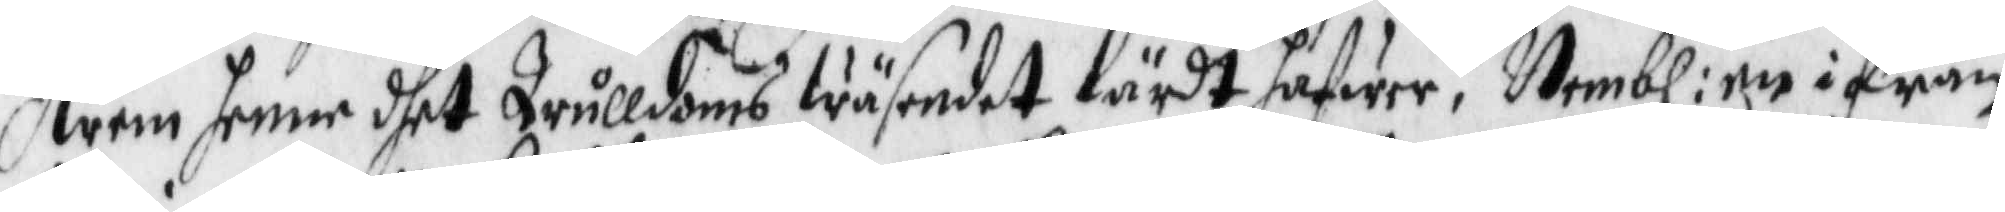hwem henne dhet trulldoms wäsendet lärdt hafwer, Nembl: en ifrån
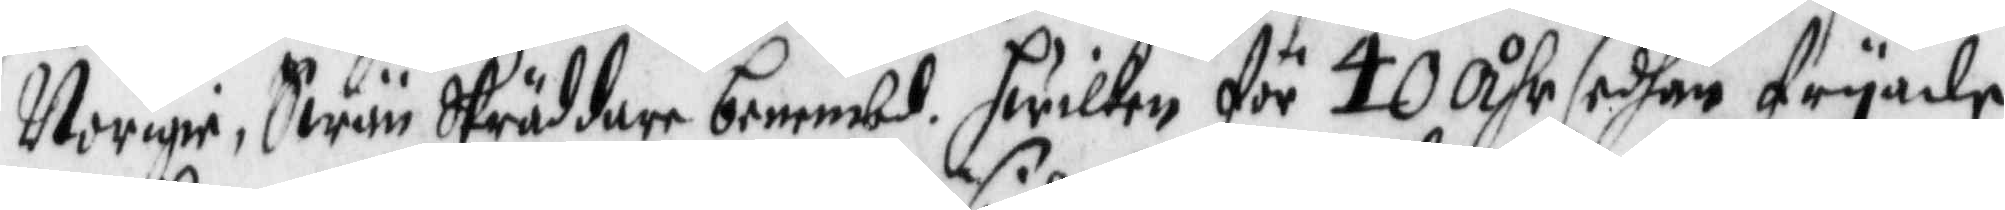Norigie, Swän Skräddare benembd. hwilken för 40 Åhr sedhan fryade
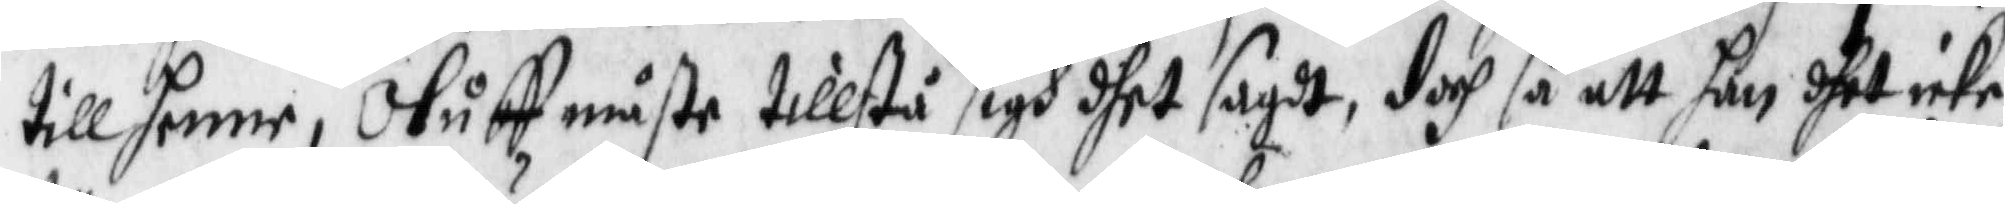till henne, Oluff måste tillstå sigh dhet sagdt, doch så att han dhet icke
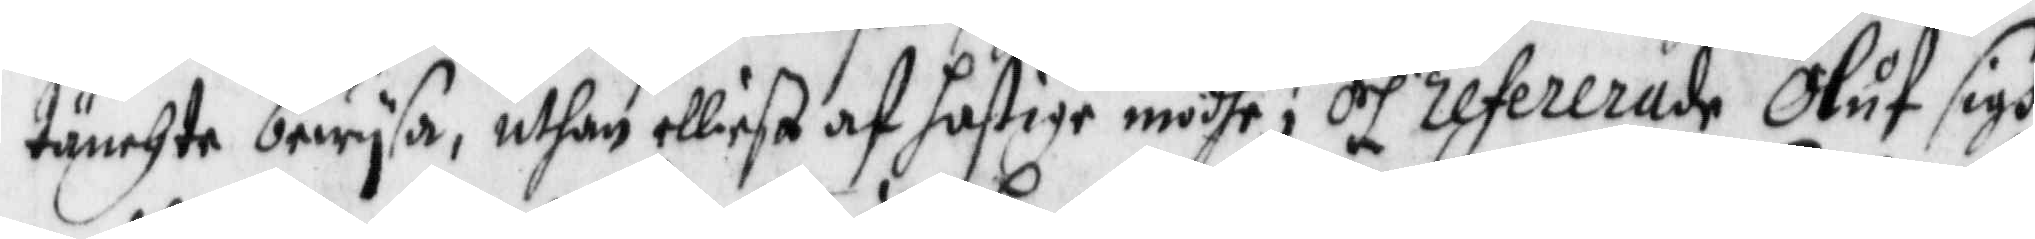tänchte bewysa, uthan elliest af hastige modhe; och refererade Oluf sigh
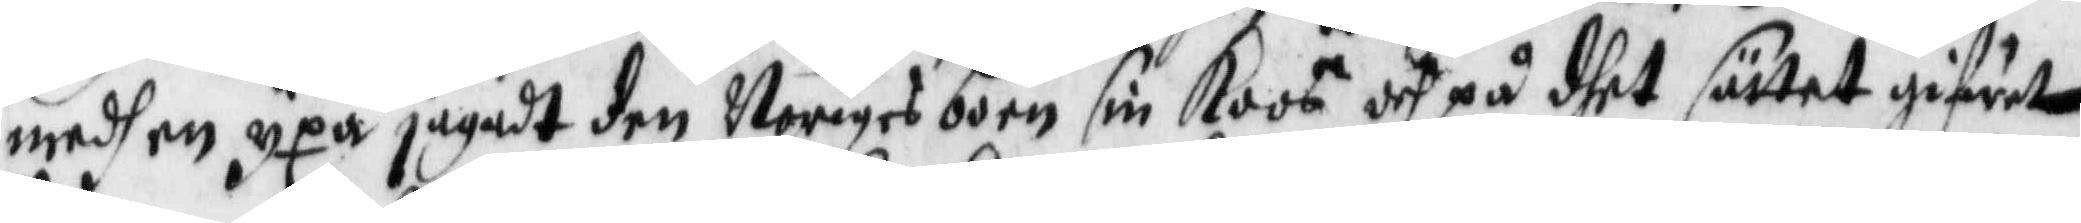medh en yxa jagadt den Noriges boen sin koos och på dhet sättet gifwit
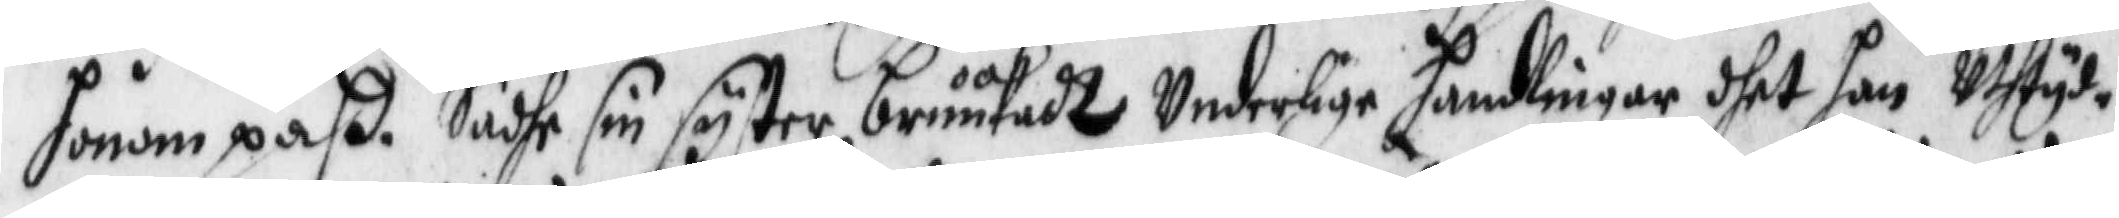honom påß. Sadhe sin syster bruukadt Underlige handlingar dhet hon Uthtyd¬
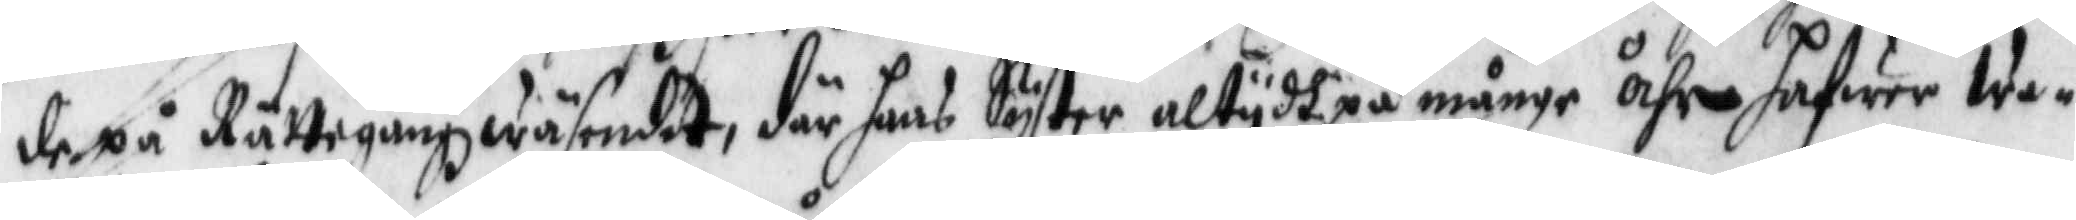de på Rättegångzwäsendet, där hans Syster altydh på månge åhr hafwer wa¬
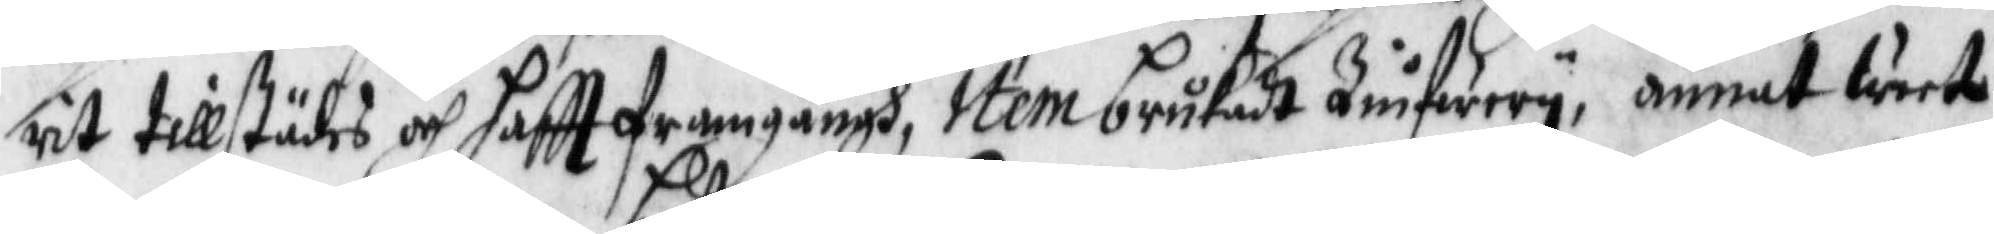rit tillstädes och haftt framgångh, Item brukadt Zinfwery, annat weete
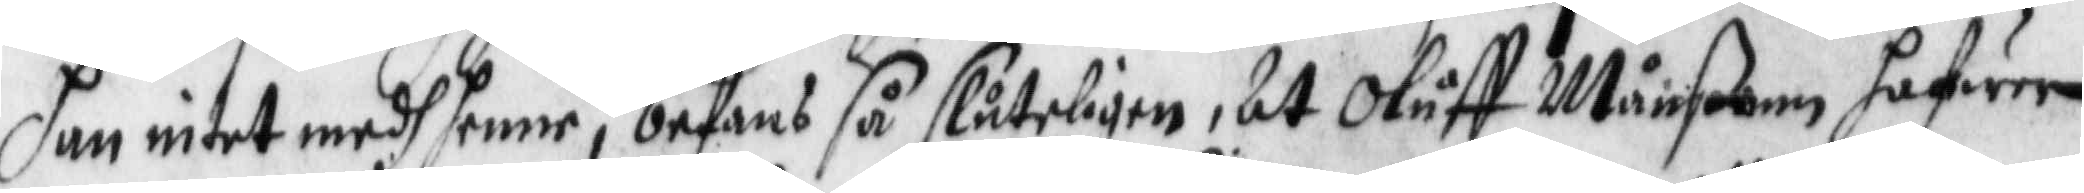han intet medh henne, befans så sluteligen, At Oluff Månßon hafwer
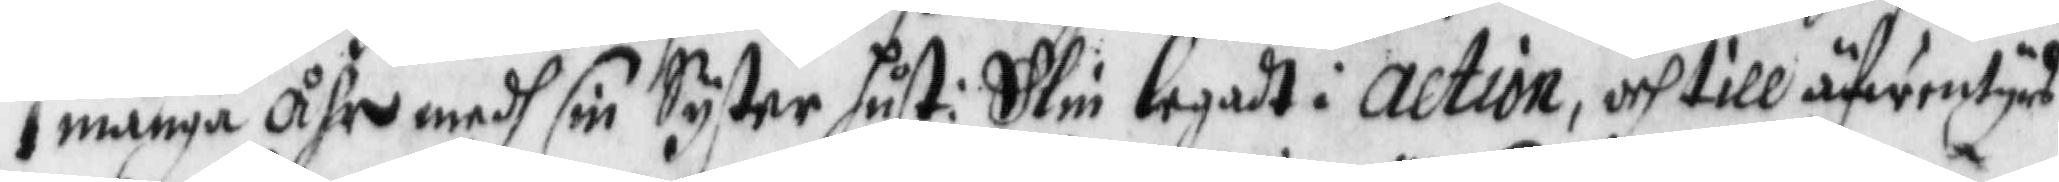i många åhr medh sin Syster hust: Elin legadt i action, och till afwentyrs
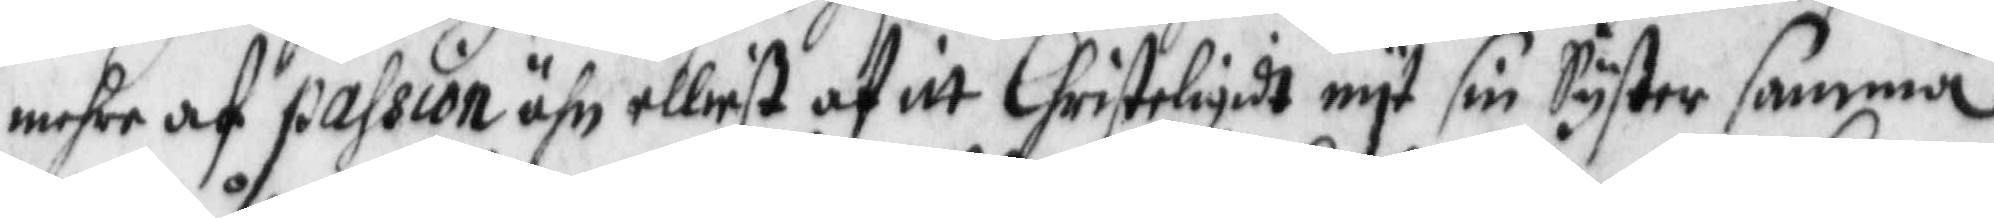mehre af passion ähn elliest af itt Christeligidt nyt sin Syster samma
